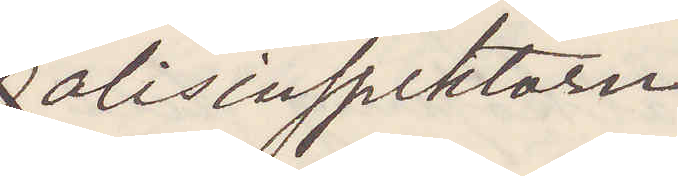Polisinspektorn
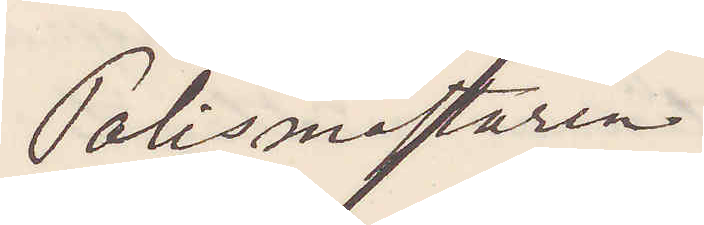Polismästaren
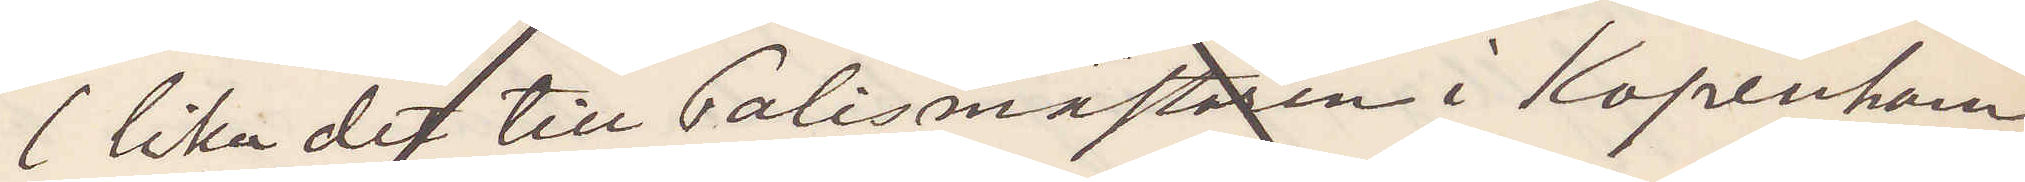(lika det till Polismästaren i Kopenhamn
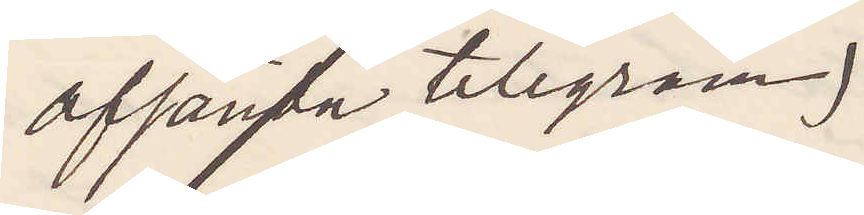afsända telegram)
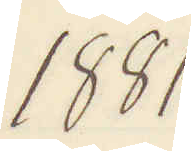1881
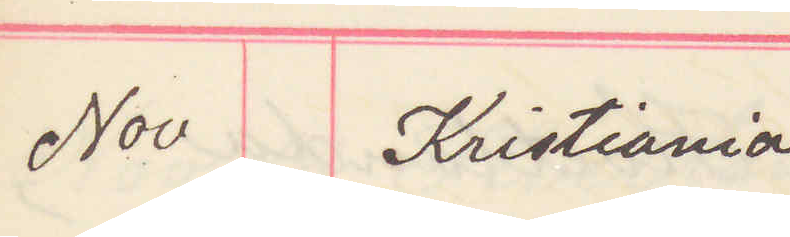Nov Kristiania
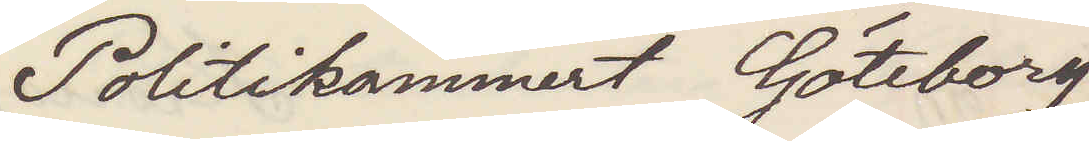Politikammeret Göteborg
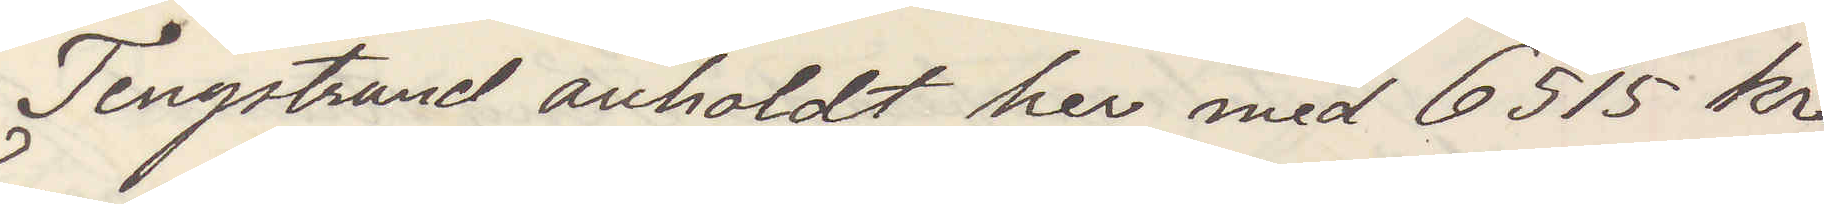Tengstrand anholdt her med 6515 kr
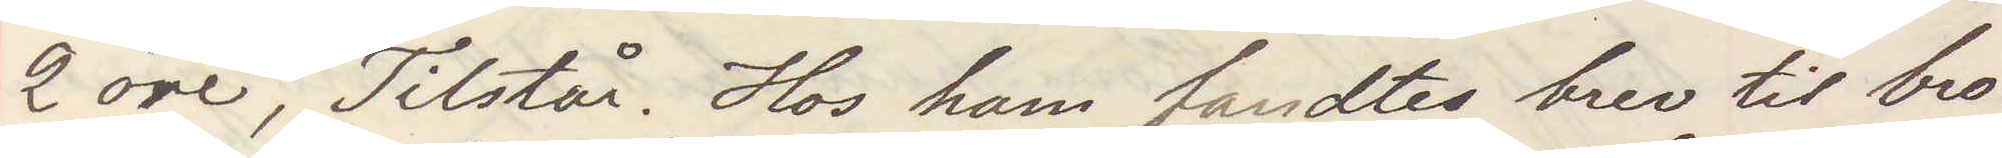2 öre, Tilstår. Hos ham fundtes brev till bro¬
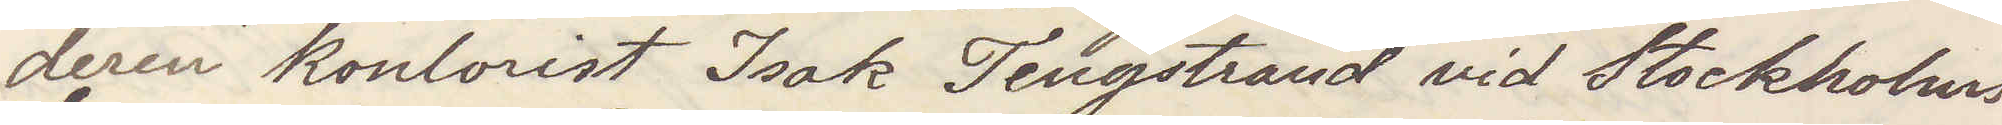deren kontorist Isak Tengstrand vid Stockholms
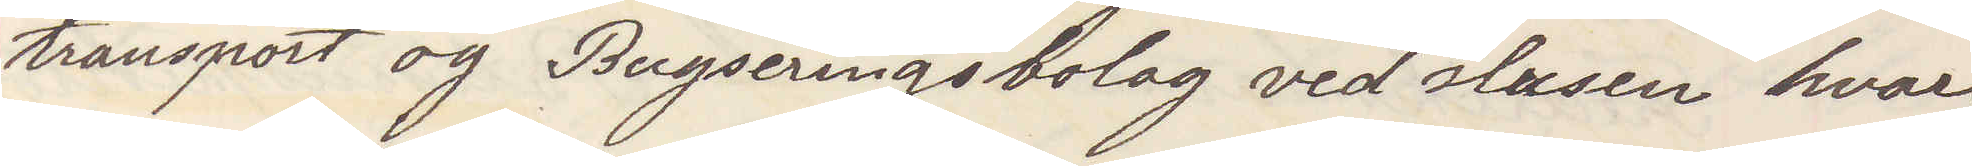transport og Bugseringsbolag ved slussen hvari
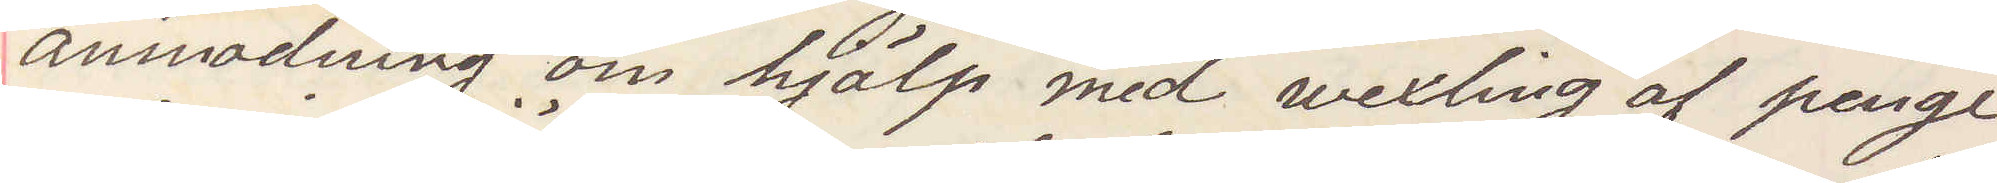anmodning om hjälp med wexling af penge
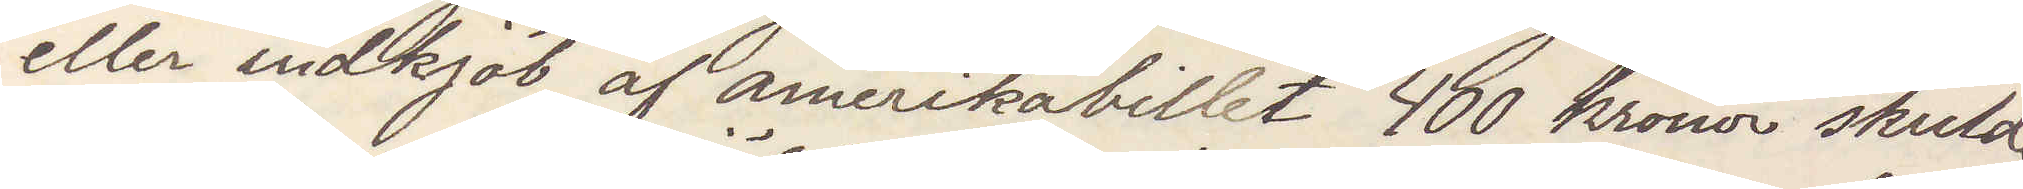eller indkjöb af amerikabillet 400 kronor skulde
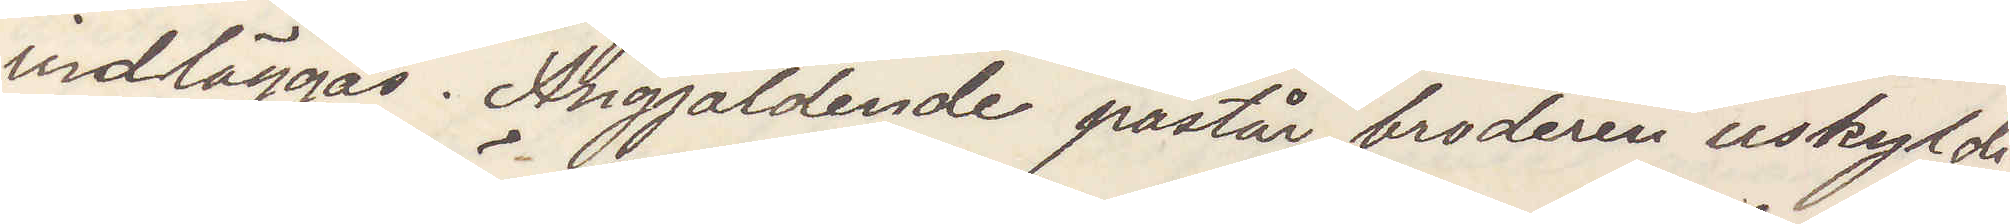vidläggas. Angjäldende påstår broderen uskyldig
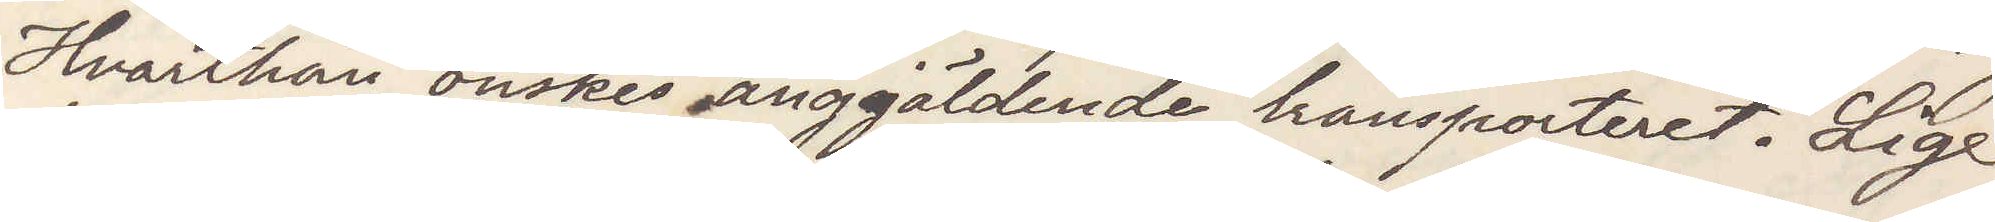Hvarthän önskes anggjäldende transporteret. Lige
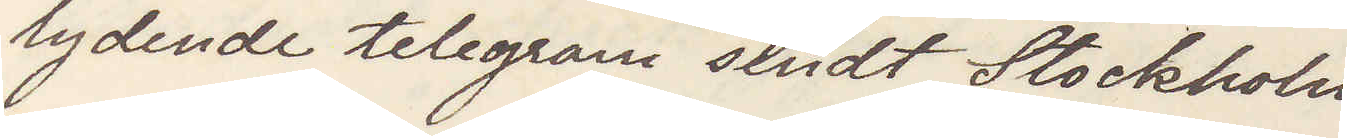lydende telegram sendt Stockholm
